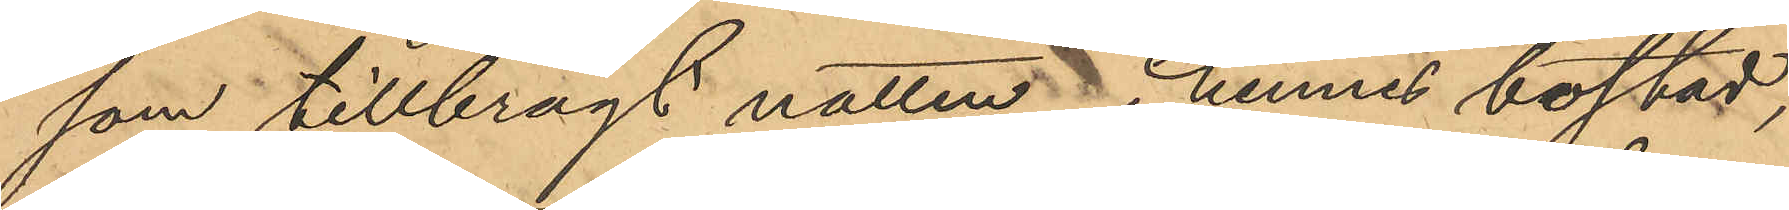som tillbragt natten i hennes bostad,
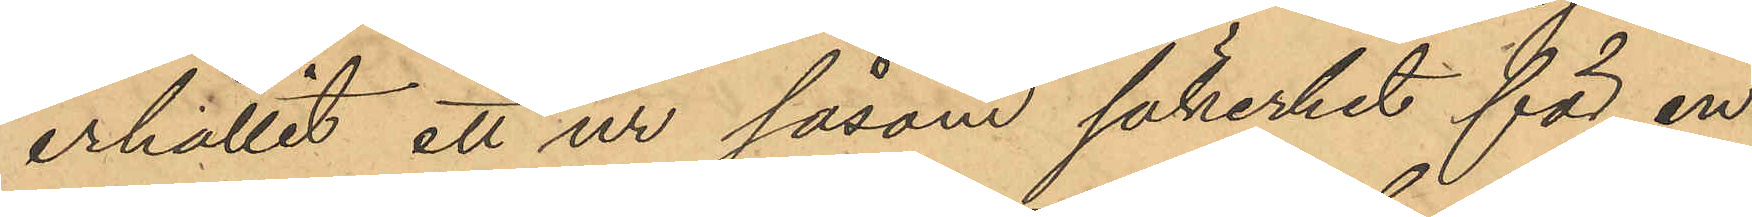erhållit ett ur såsom säkerhet för en
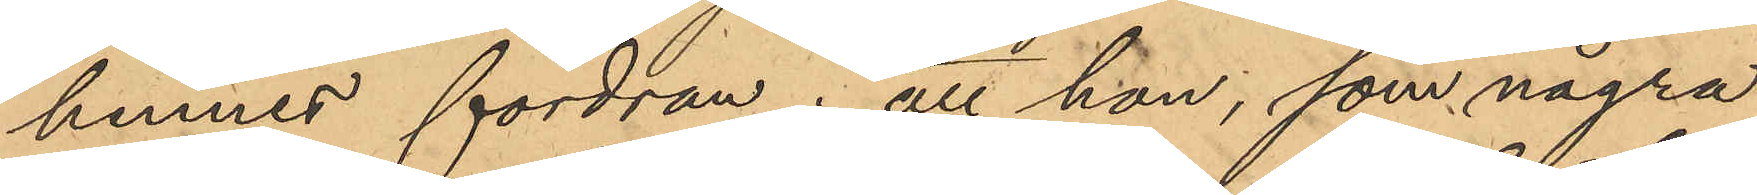hennes fordran; att hon, som några
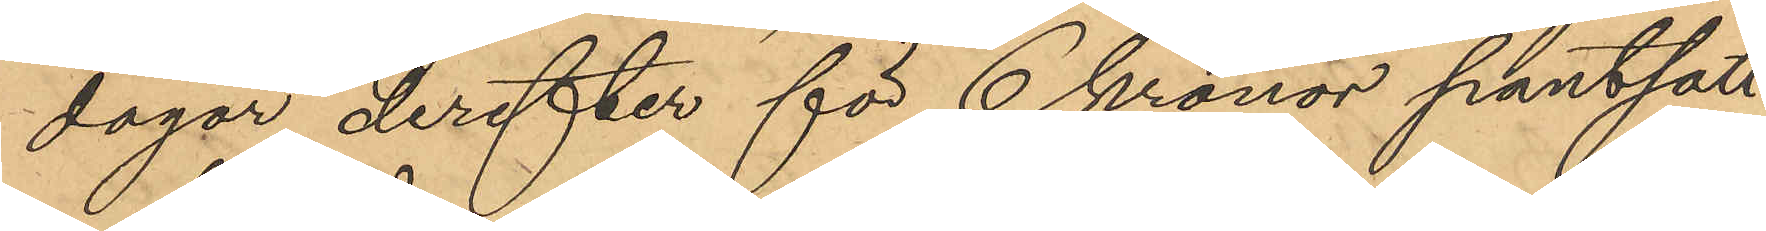dagar derefter för 6 kronor pantsatt
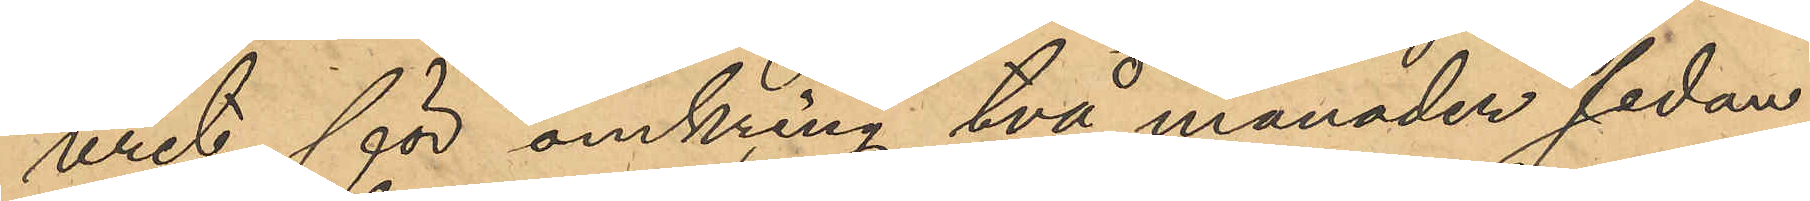uret, för omkring två månader sedan
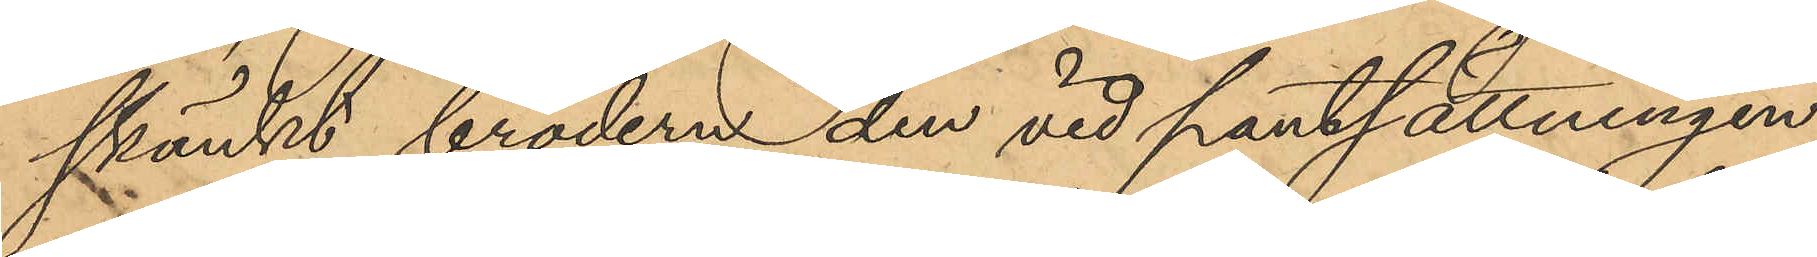skänkt brodern den vid pantsättningen
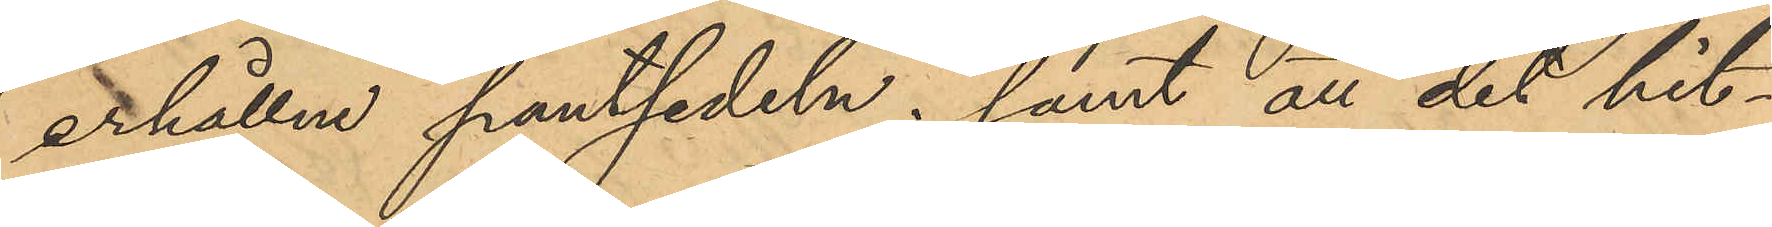erhållne pantsedeln; samt atl det hit¬
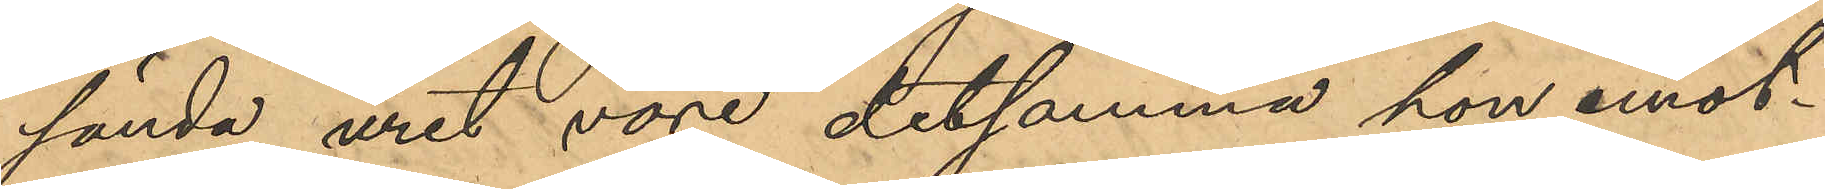sända uret vore detsamma hon emot¬
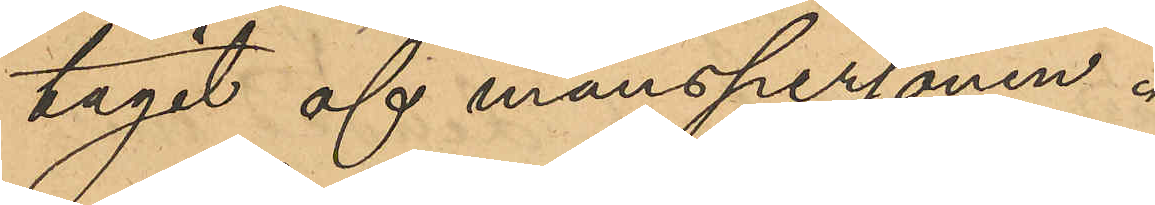tagit af manspersonen.
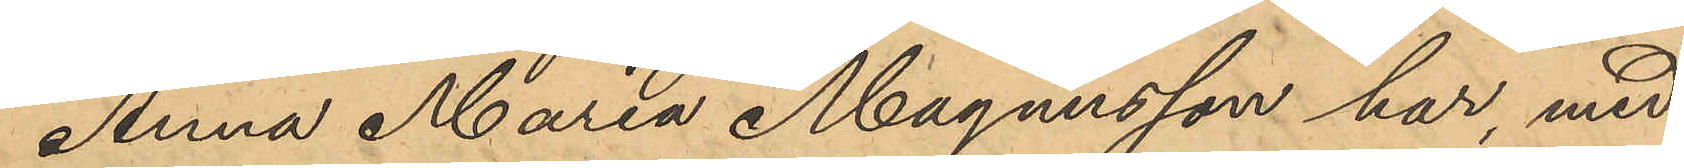Anna Maria Magnusson har, med
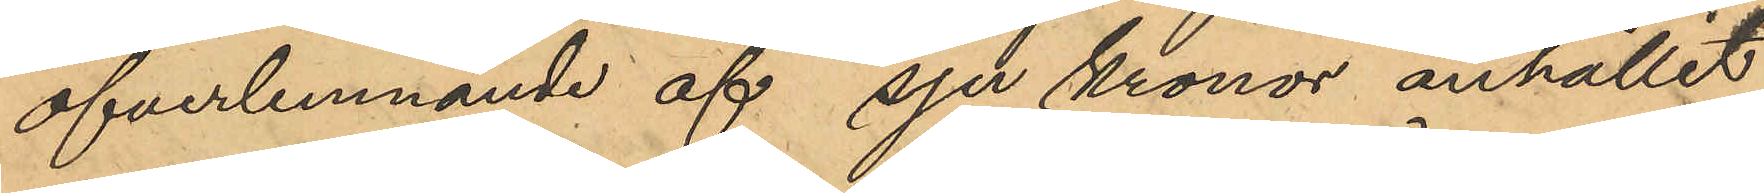öfverlemnande af sju kronor anhållit
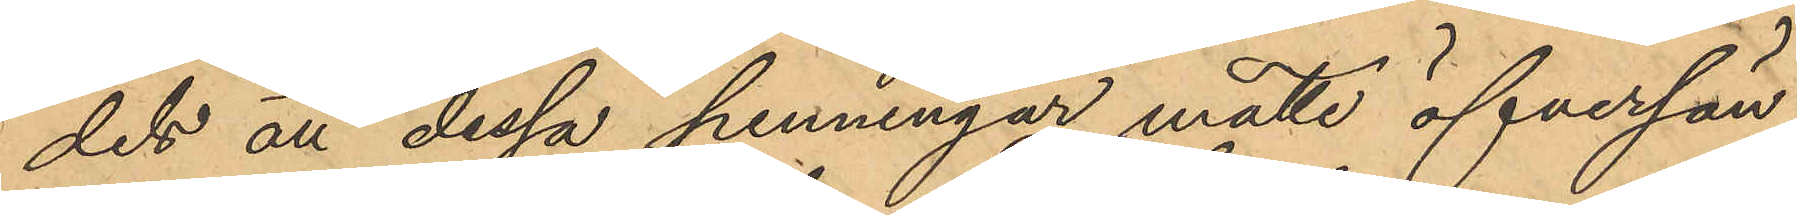dels att dessa penningar måtte öfversän¬
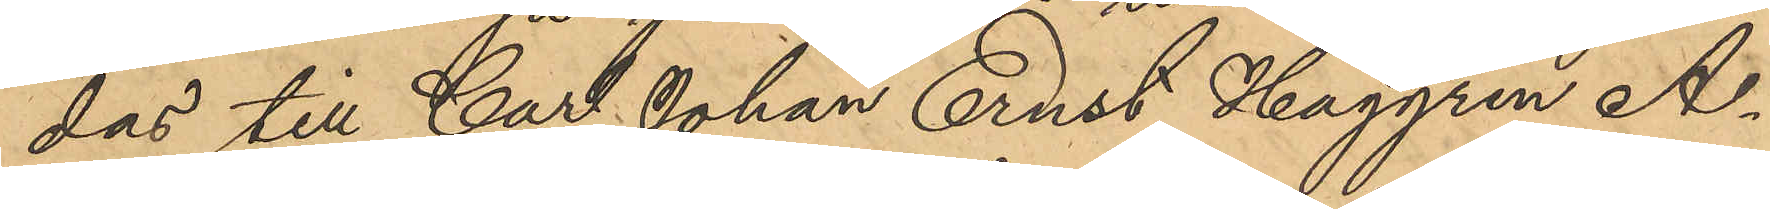das till Carl Johan Ernst Haggren A¬
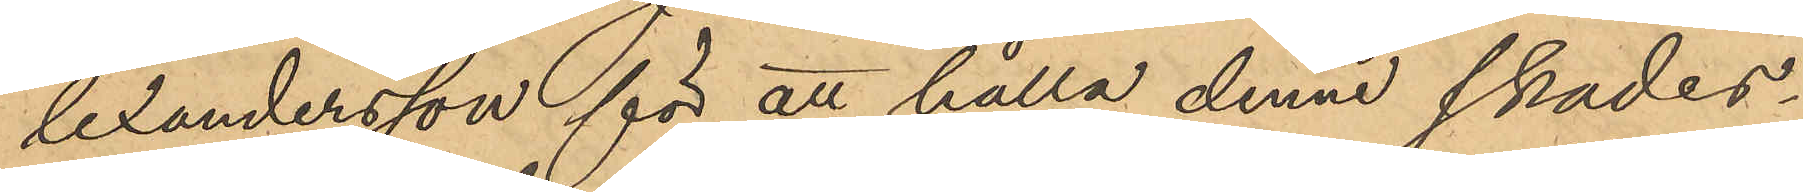lelandersson för att hålla denne skades¬
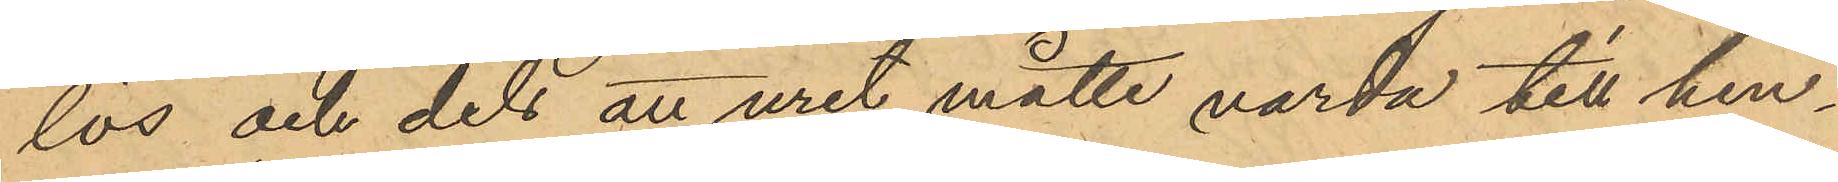lös och dels att uret måtte varda till hen¬
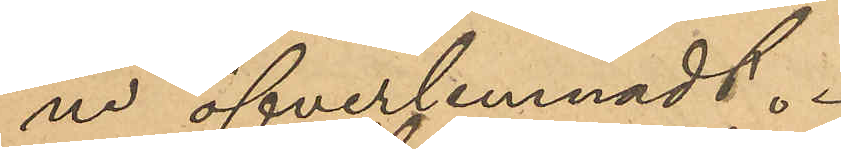ne öfverlemnadt.
